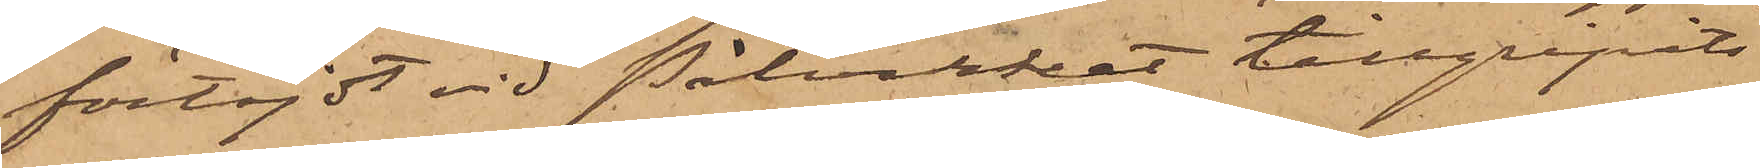förtöjdt vid Pålverket tillgripits
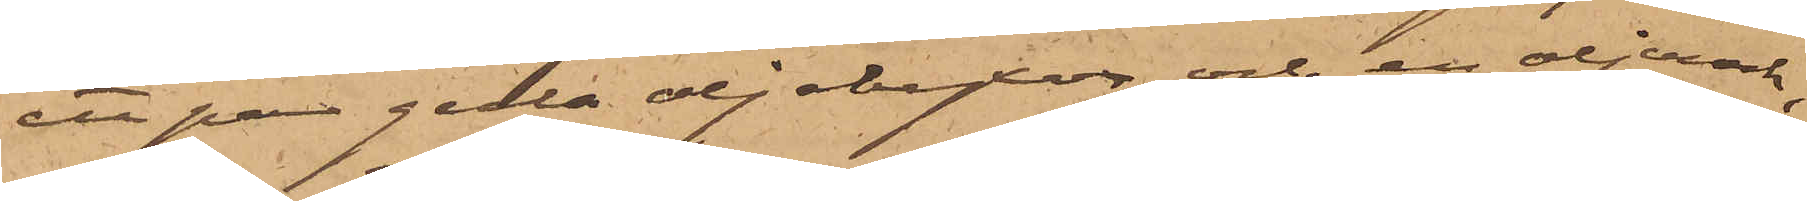ett par gula oljebyxor och en oljerock,
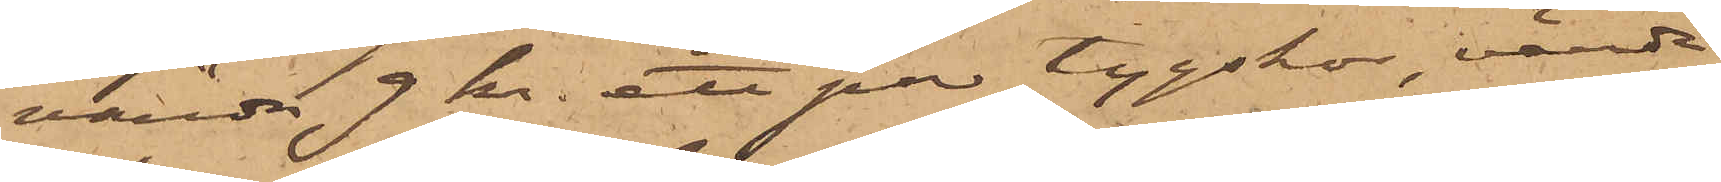värde 9 kr. ett par tygskor, värde
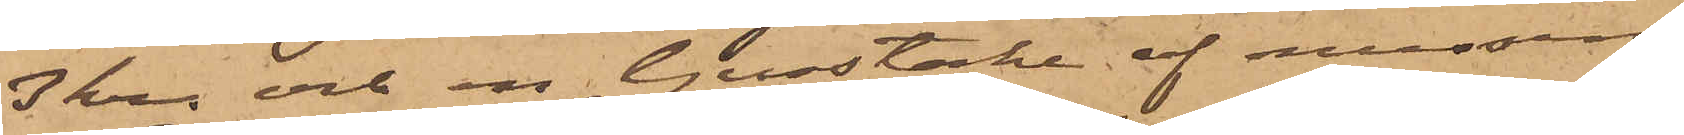3 kr. och en ljusstake af messing
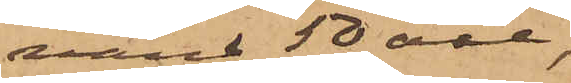värd 50 öre,
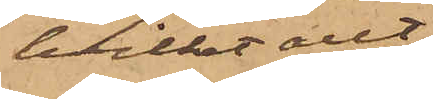hvilket allt
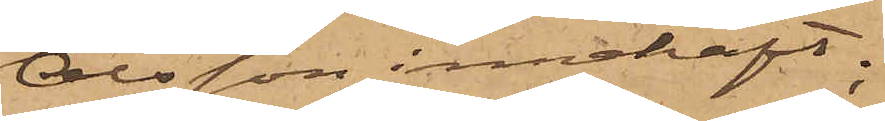Olsson innehaft;
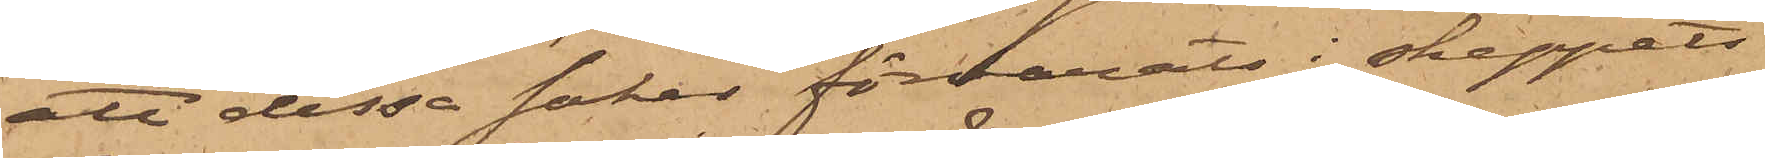att dessa saker förvarats i skeppets
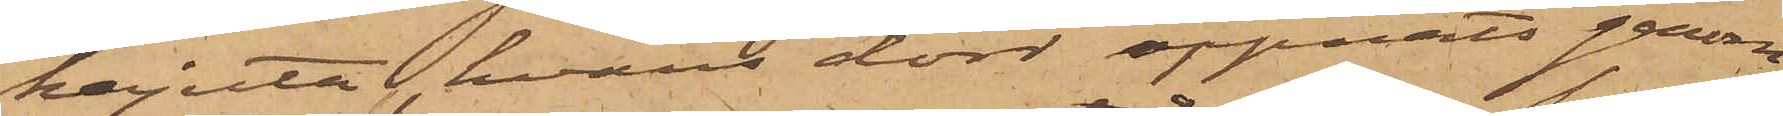kajuta, hvars dörr öppnats genom
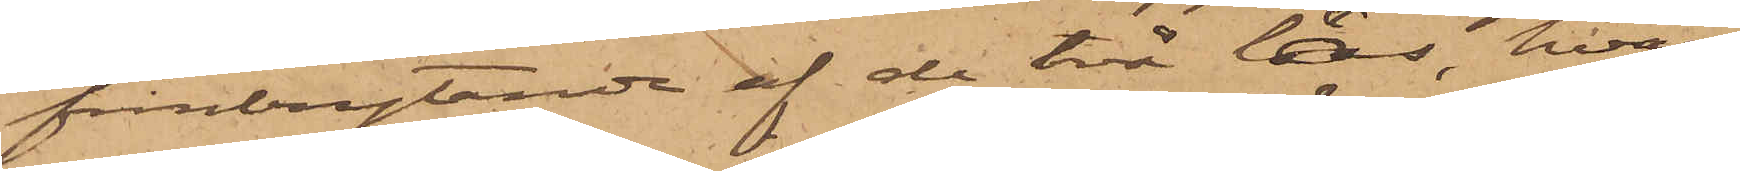frånbrytande af de två lås, hvar¬
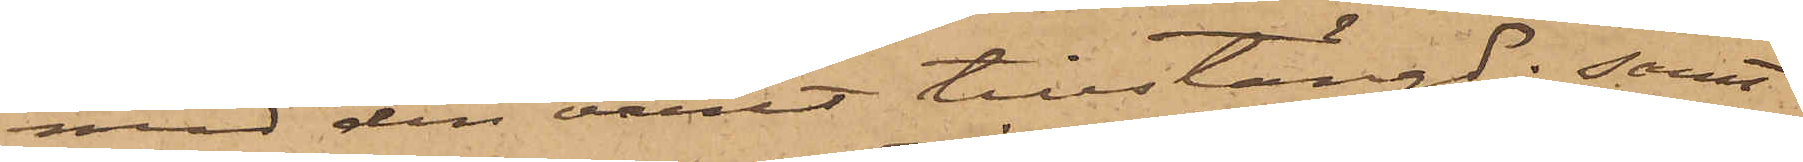med den varit tillstängd; samt
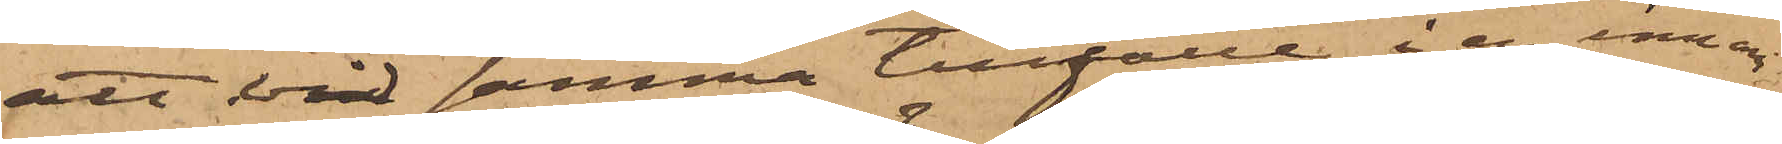att vid samma tillfälle i en innan¬
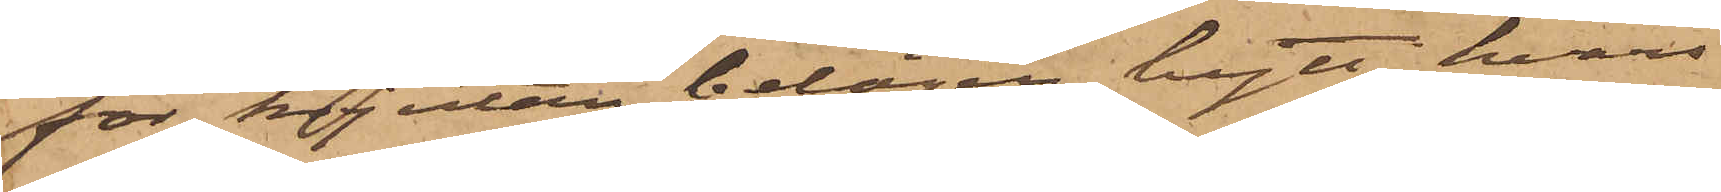för kajutan belägen hytt, hvars
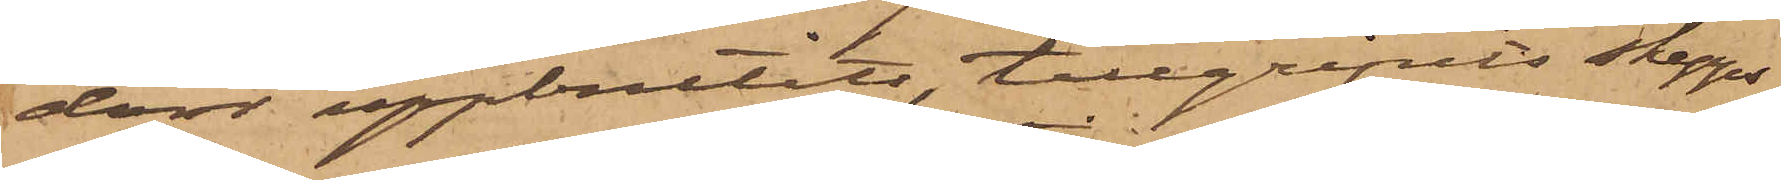dörr uppbrutits, tillgripits skepps¬
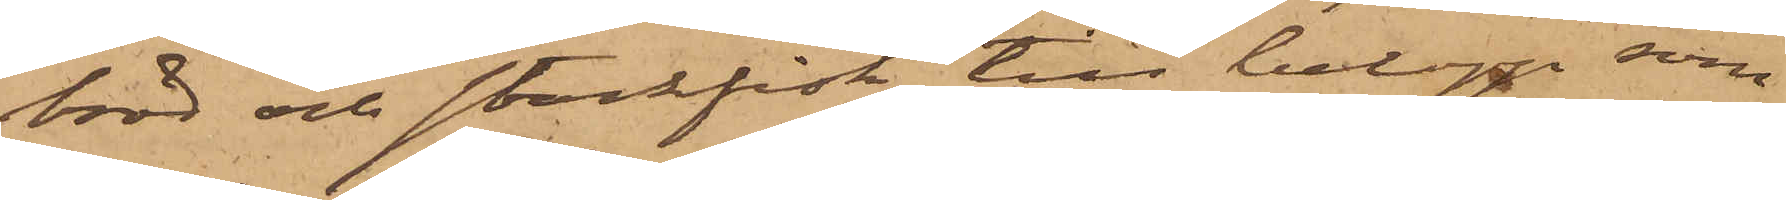bröd och stockfisk till belopp, som
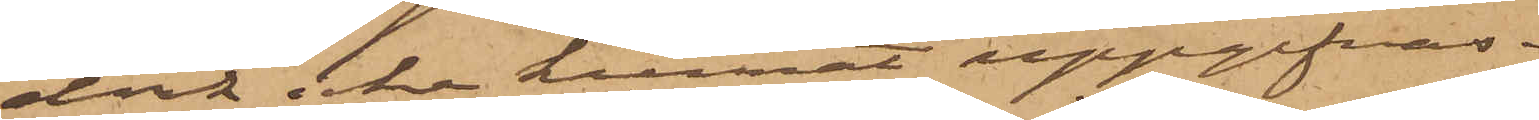dock icke kunnat uppgifvas.
